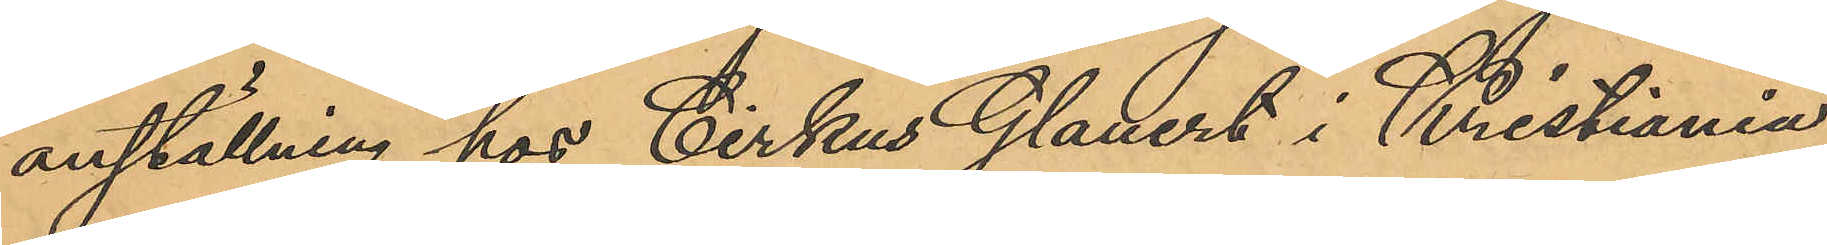anställning hos Cirkus Glauert i Kristiania
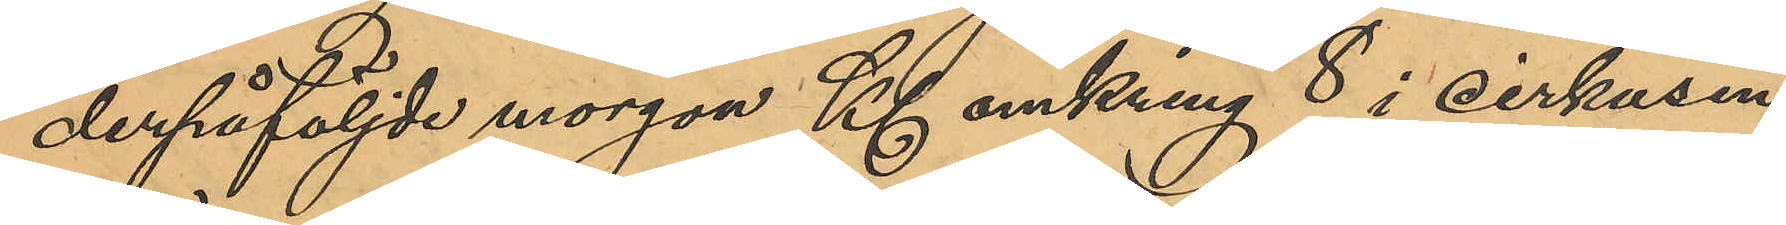derpåföljde morgon Kl. omkring 8 i cirkusen,
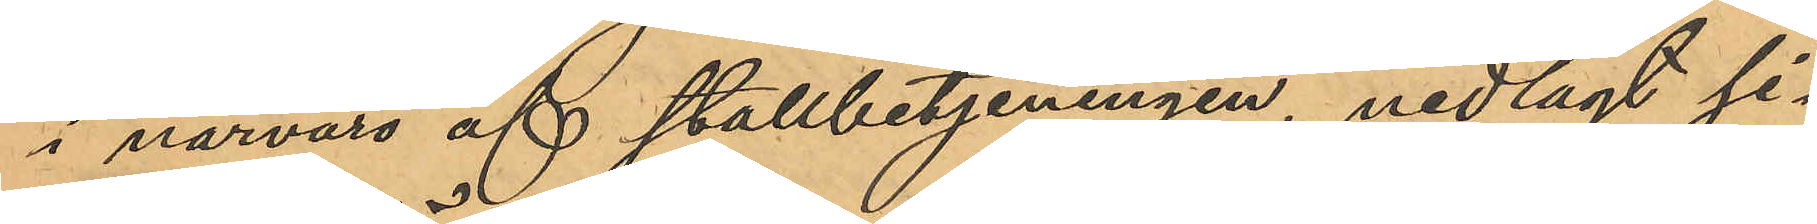i närvaro af stallbetjeningen, nedlagt si¬
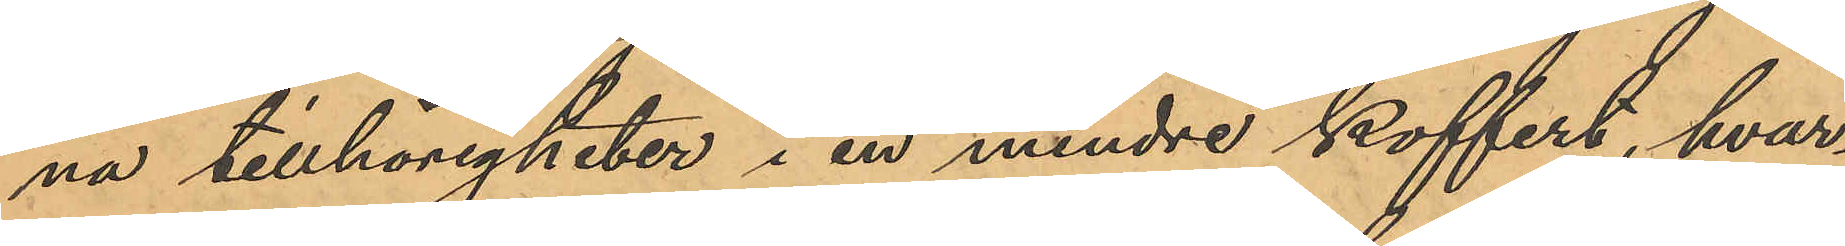na tillhörigheter i en mindre koffert, hvar¬
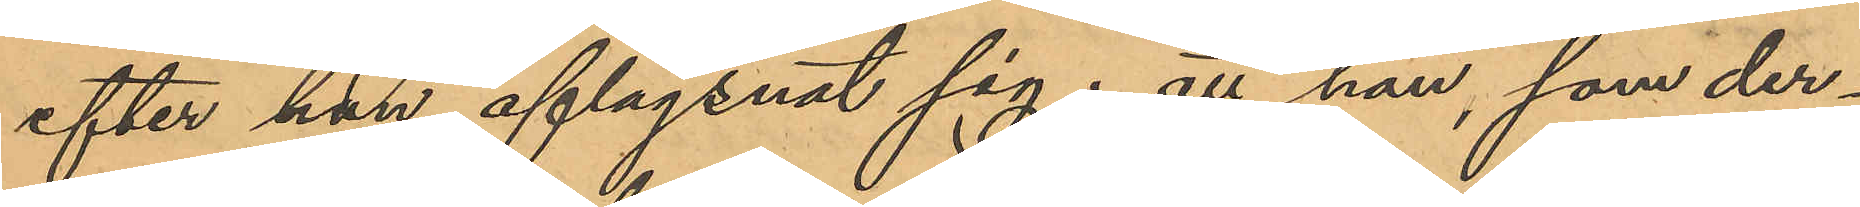efter han aflägsnat sig; att han, som der¬
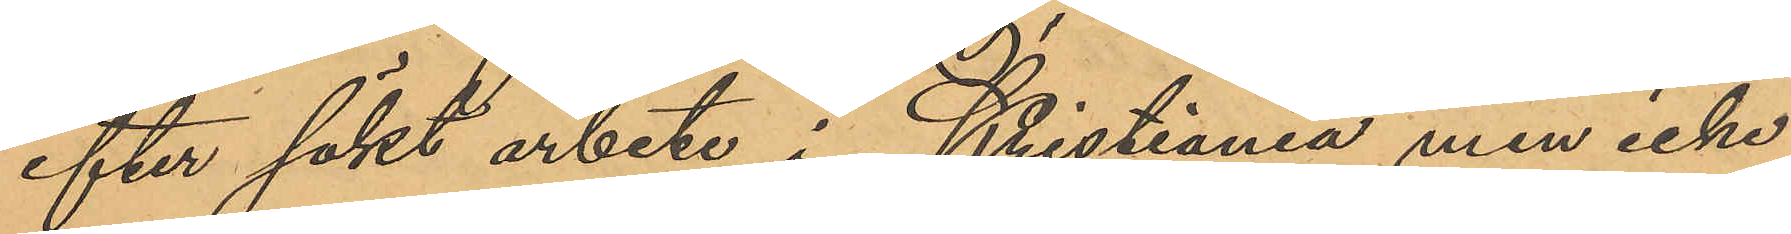efter sökt arbete i Kristiania men icke
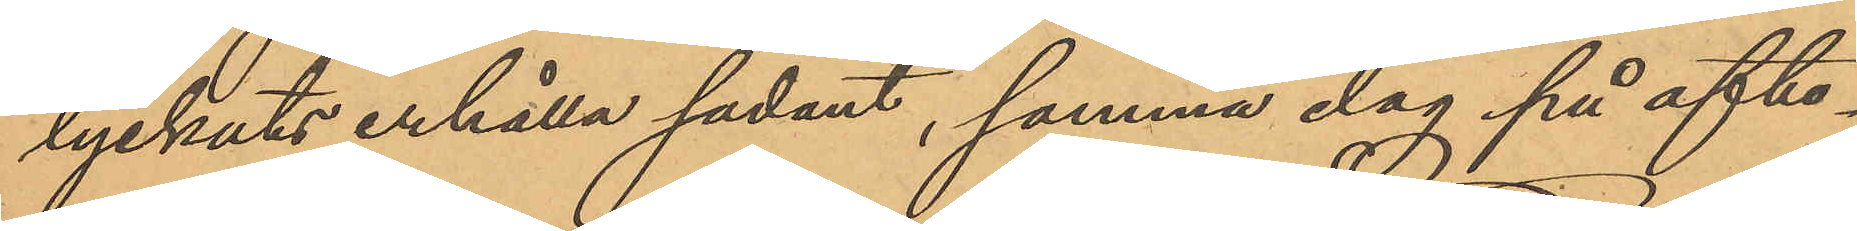lyckats erhålla sådant, samma dag på afto¬
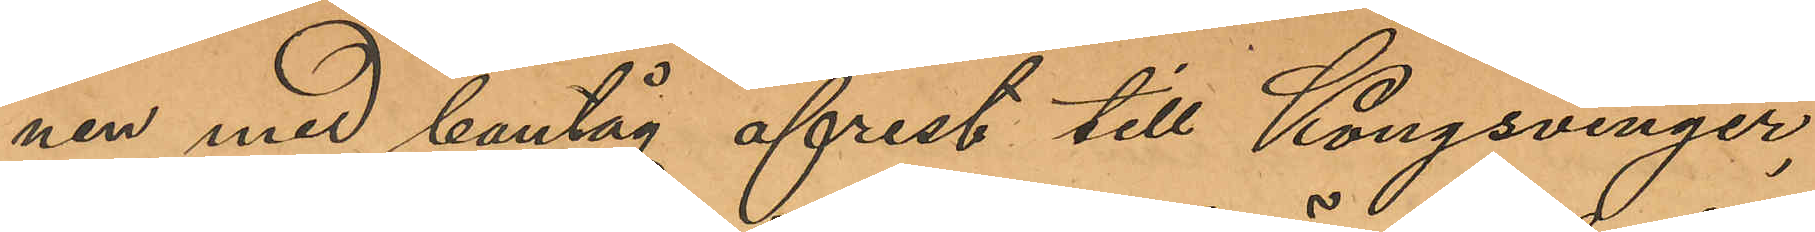nen med bantåg afrest till Kongsvinger,
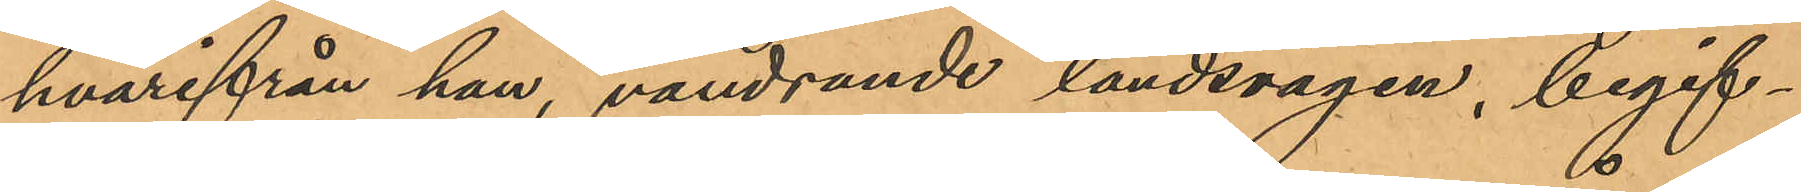hvarifrån han, vandrande landsvägen, begif¬
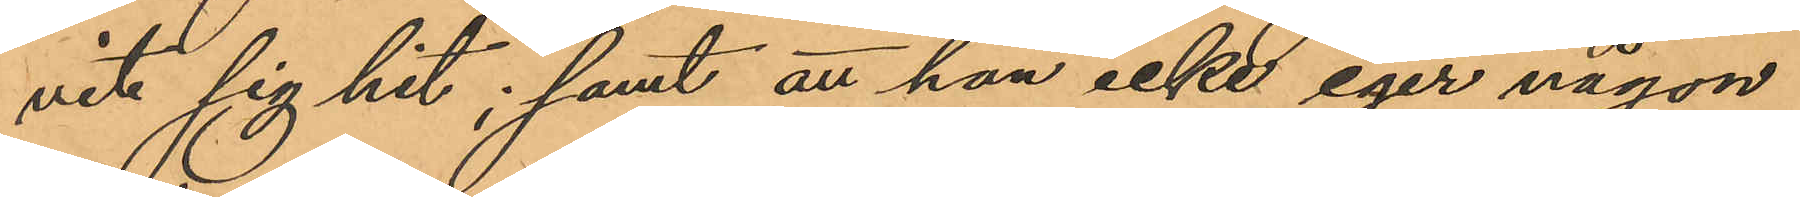vit sig hit; samt att han icke eger någon
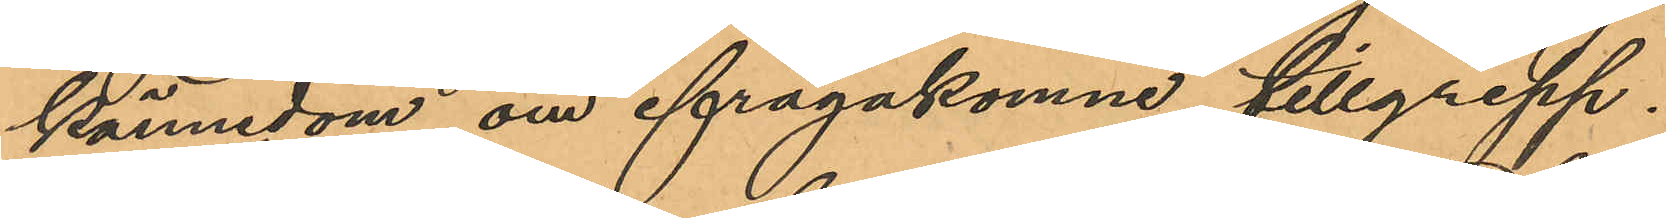kännedom om ifrågakomne tillgrepp.
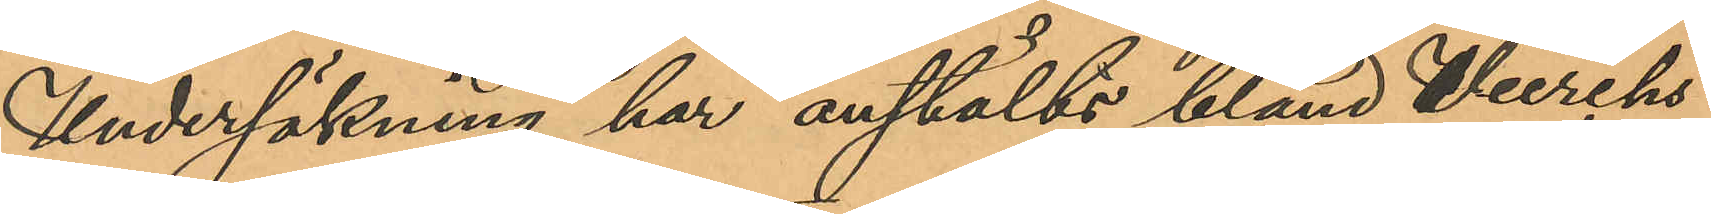Undersökning har anstälts bland Herchs
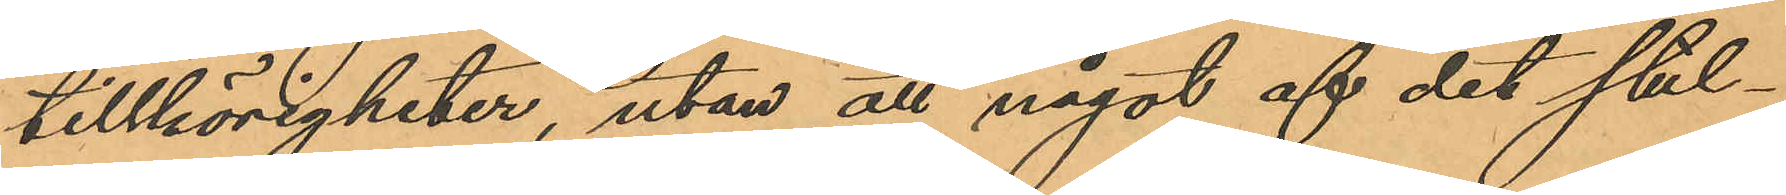tillhörigheter, utan att något af det stul¬
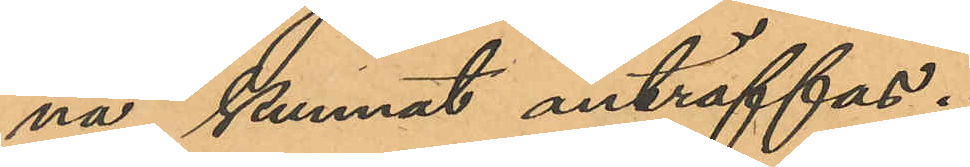na kunnat anträffas.
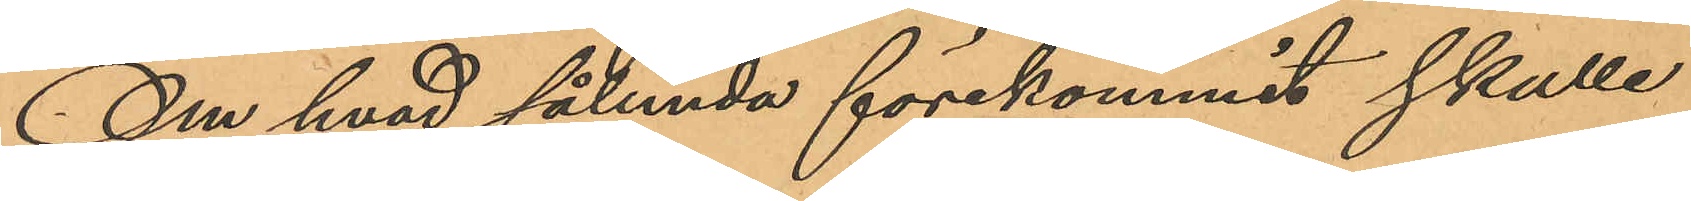Om hvad sålunda förekommit skulle
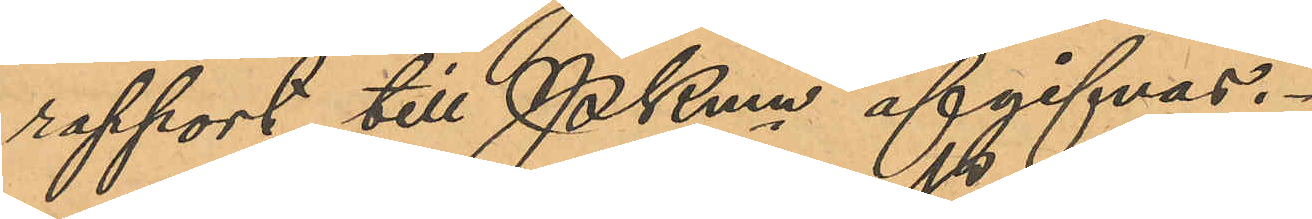rapport till Pkmn afgifvas.
